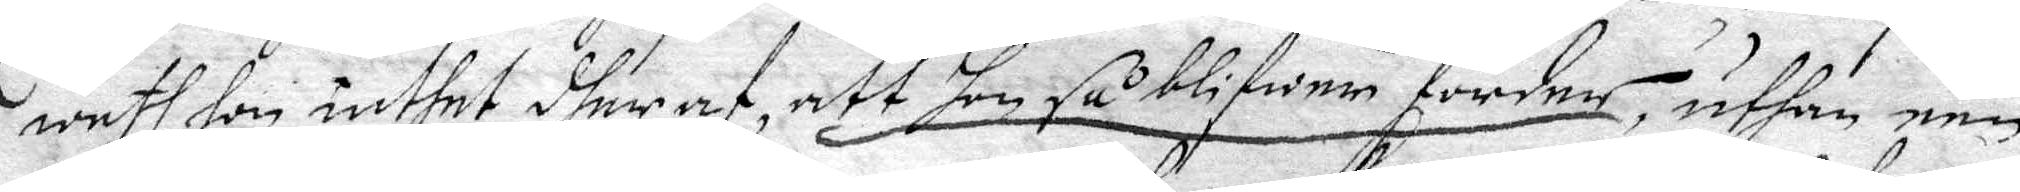weth hon inthet dheraf, att hon så blifwer förder, uthan een
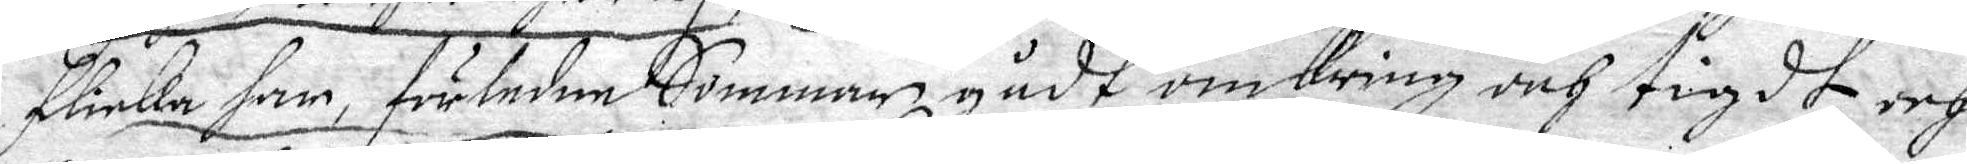flicka har, förledne Sommar gådt omkring och tugadt, och
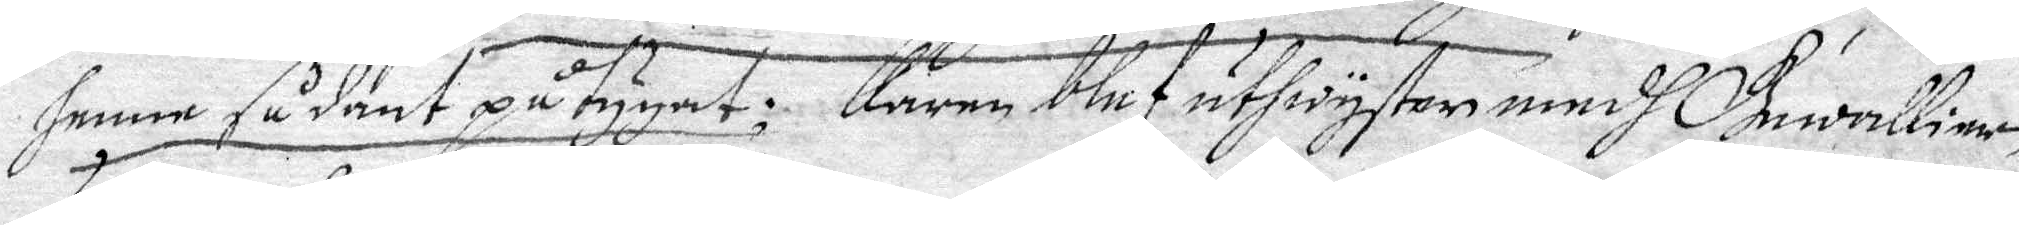henne sådant påtygat; karin blef uthwysten medh Gewallier
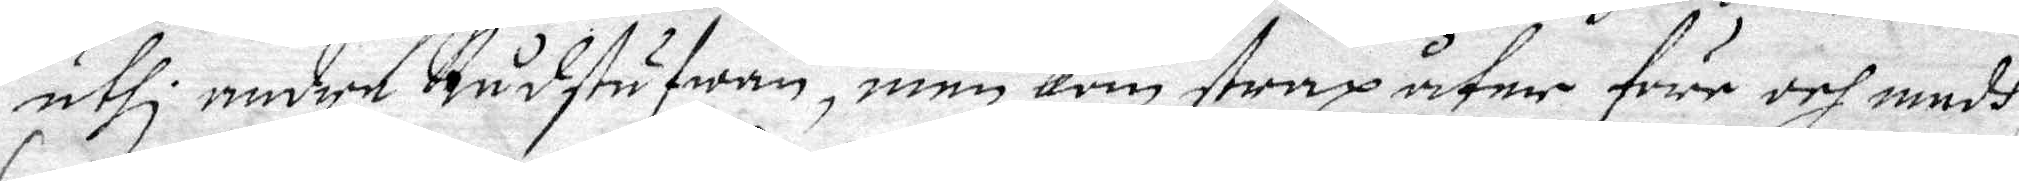uthi andre Rådstufwan, men Kom strax åter four och medh
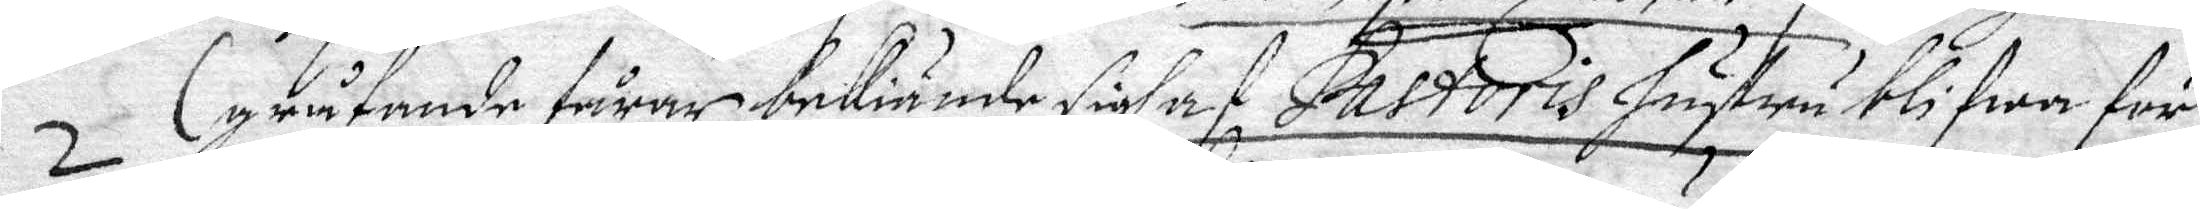gråtande tårar bekiände sigh af Pastoris hustru blifwa för¬
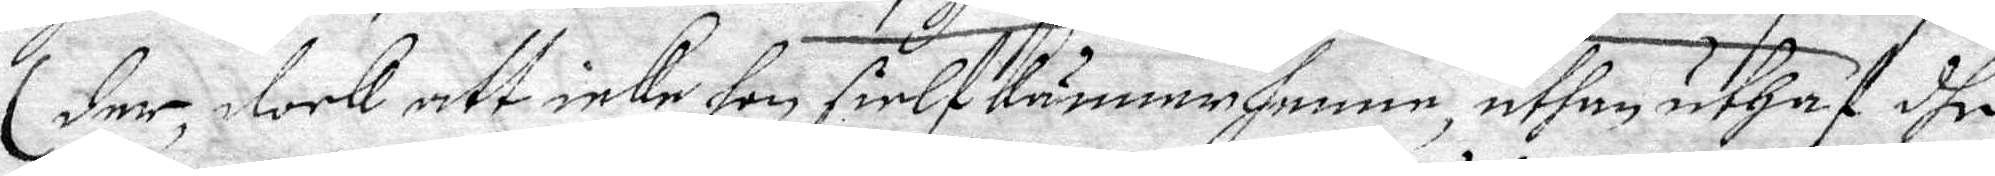der, dock att icke hon sielf känna henne, uthan uthaf dhe
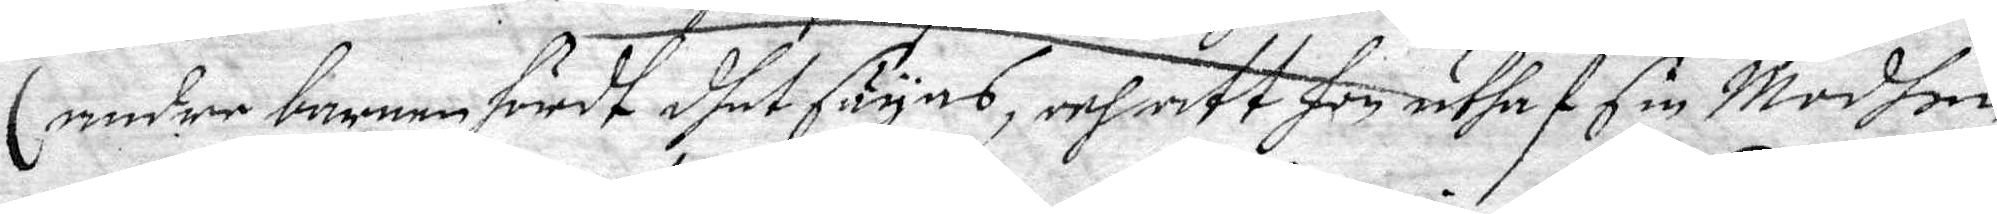andre barnen hördt dhet säyas, och att hon uthaf sin Moder
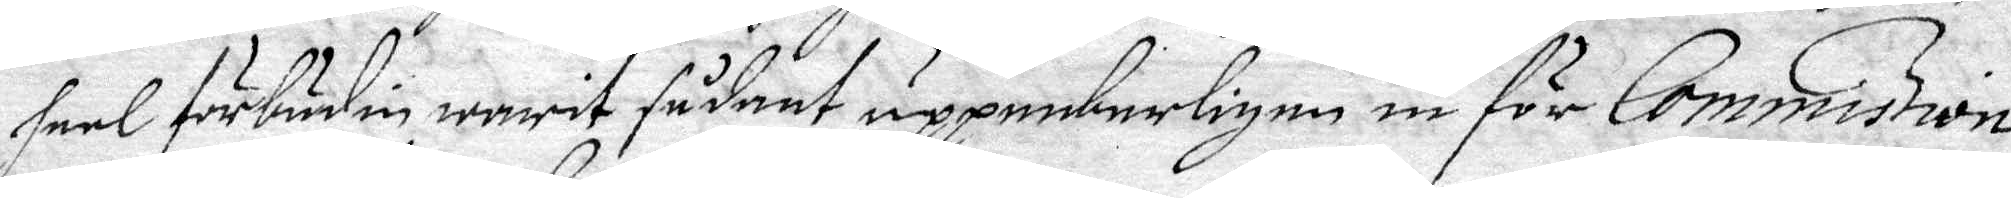heel förbudin warit sådant uppenbarligen in för Commission
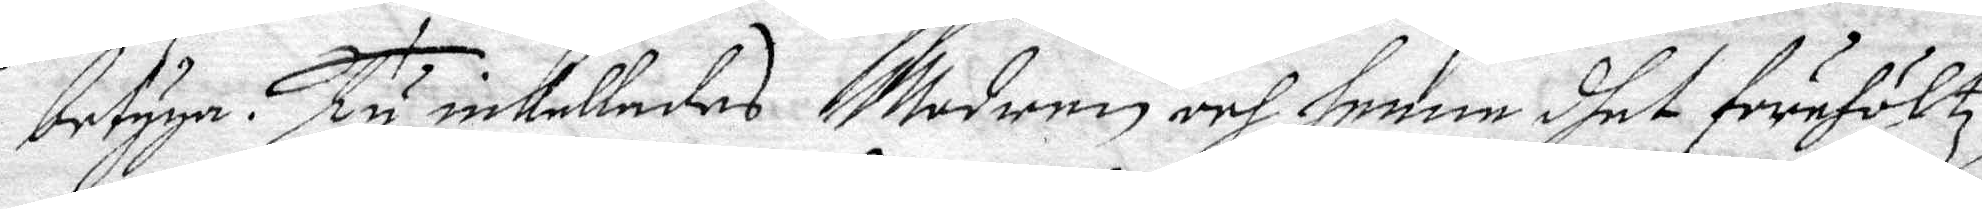betyga. Ty inkallades Modern och henne dhet förehöltz,
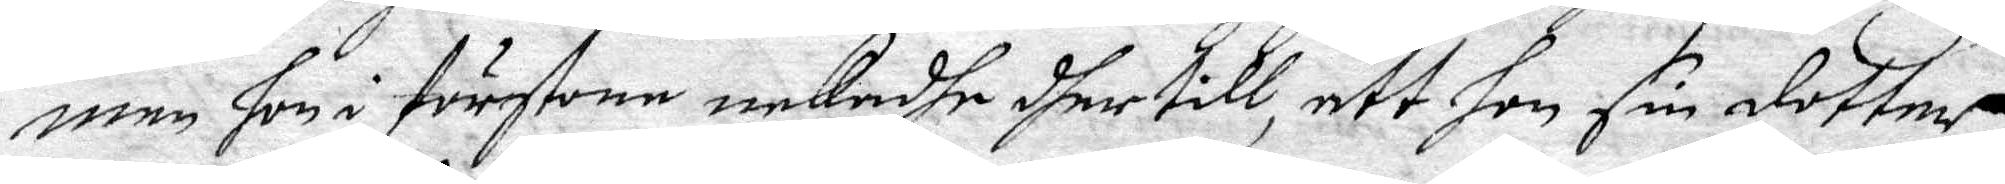men hon i förstone nekadhe dher till, att hon sin dotter
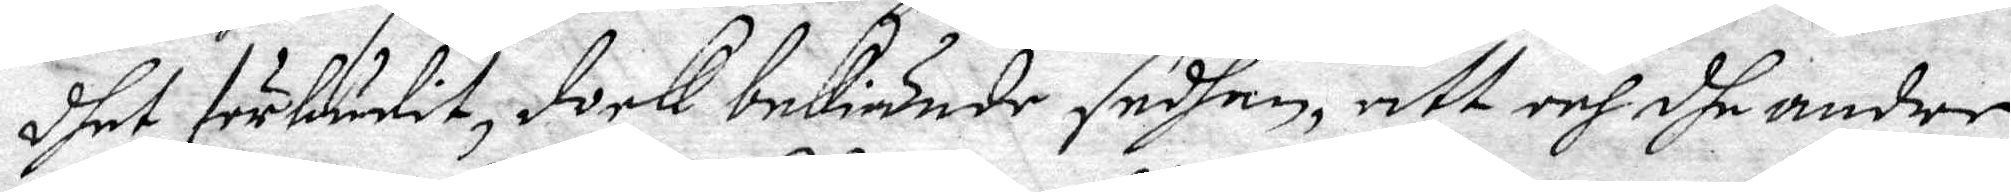dhet förbudit, dock bekiände sedhan, att och dhe andre
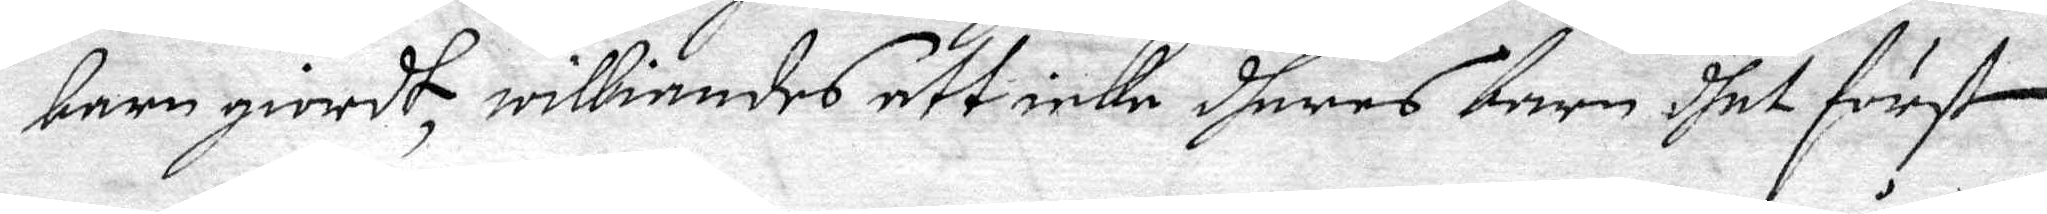barn giordt, williandes att icke dheras barn dhet först
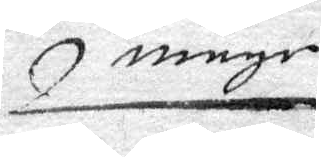måge
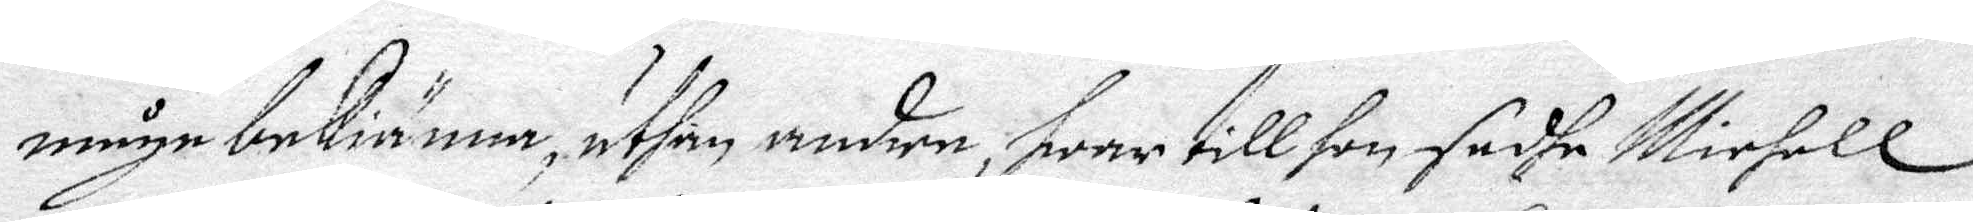måge bekiänna, uthan andre, hwar till hon sadhe Michell
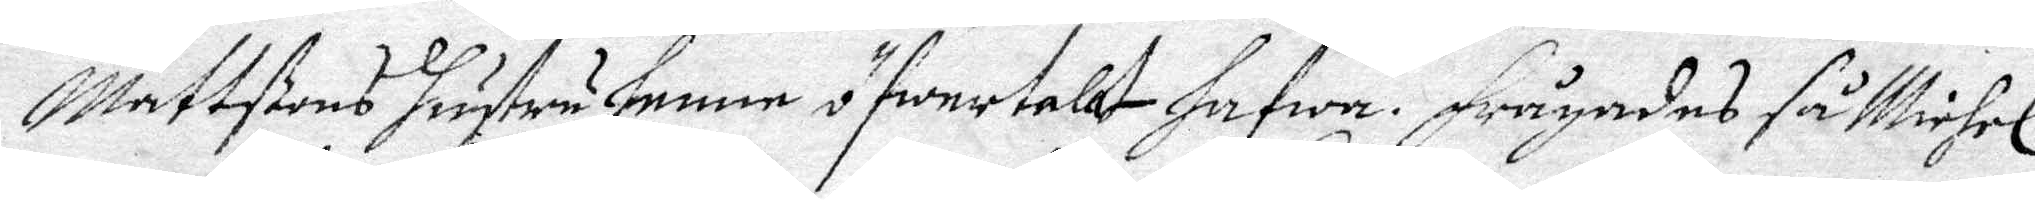Mattßons hustru henne öfwertalat hafwa. Frågades så Michel
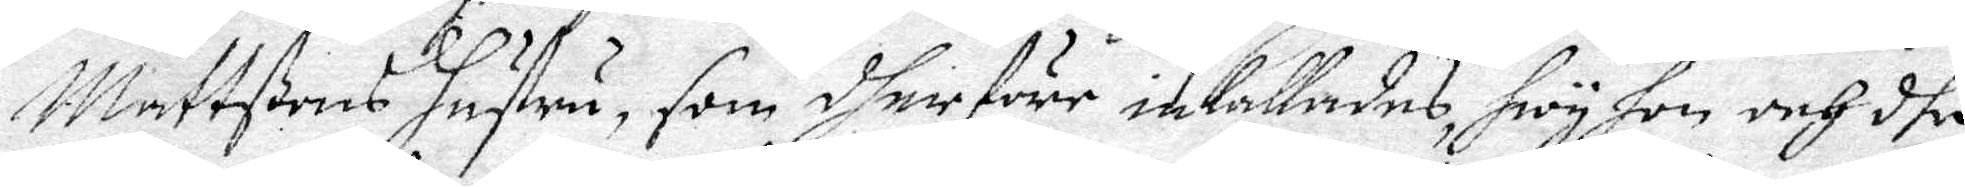Mattßons hustru, som dher före inkallades, hwy hon och dhe
